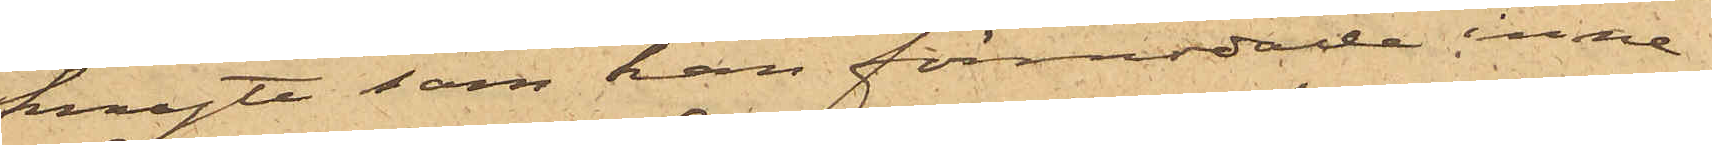knyte som han förmodade inne¬
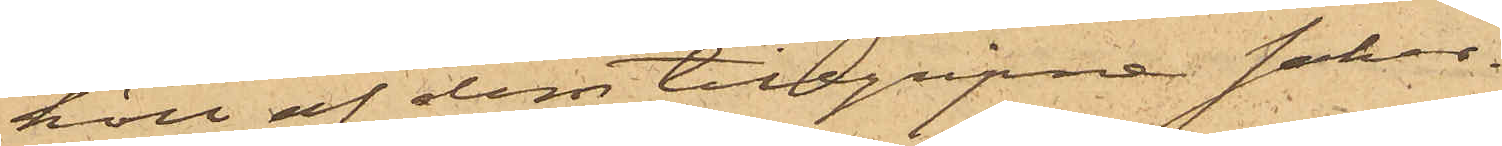höll af dem tillgripne saker.
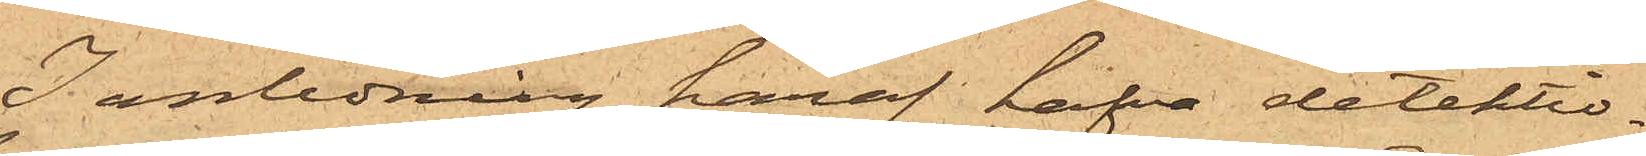I anledning häraf hafva detektiv¬
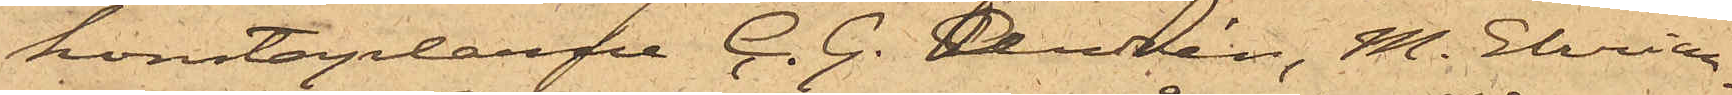konstaplarne C. G. Andrén, M. Ehrian¬
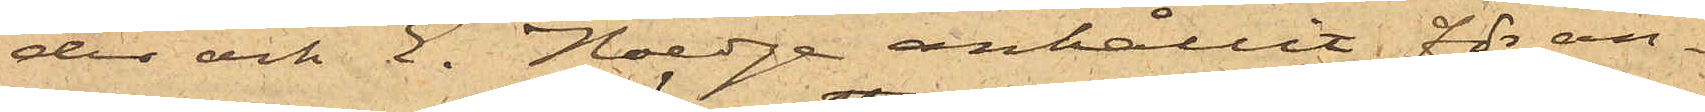der och E. Haedge anhållit för an¬
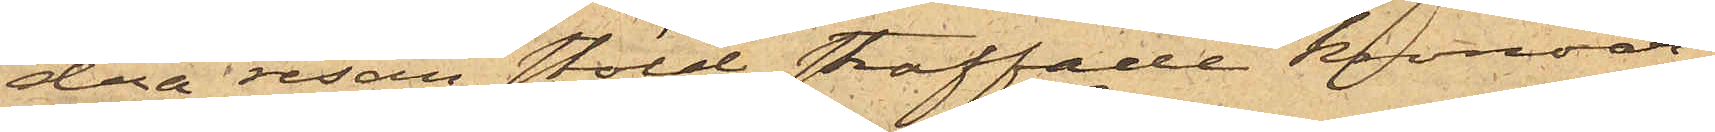dra resan stöld straffade kronoar¬
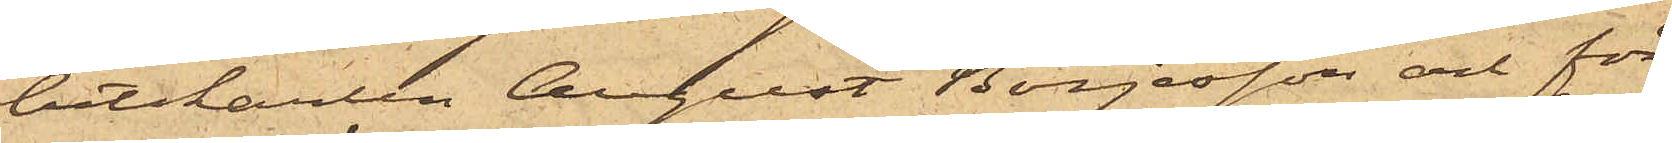betskarlen August Börjesson och för
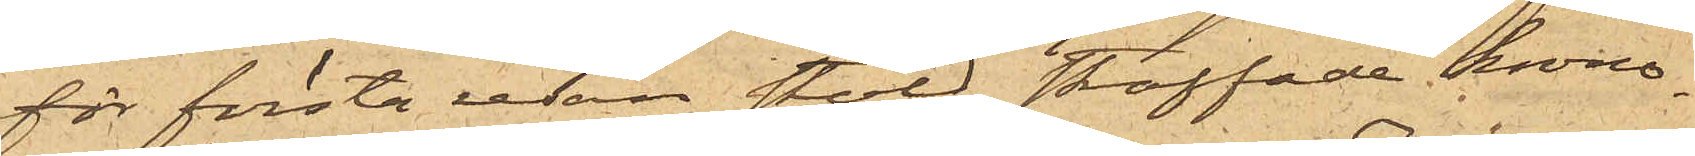för första resan stöld straffade krono¬
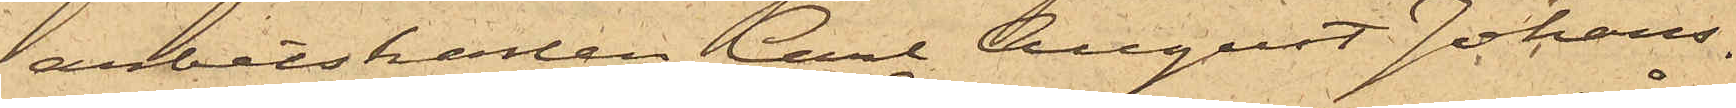arbetskarlen Carl August Johans¬
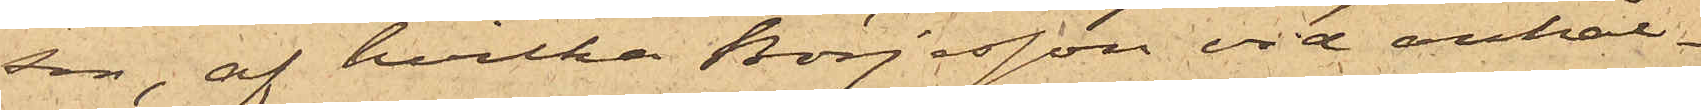son, af hvilka Börjesson vid anhål¬
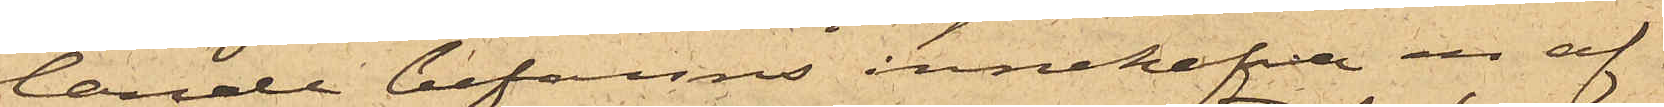lande befanns innehafva en af
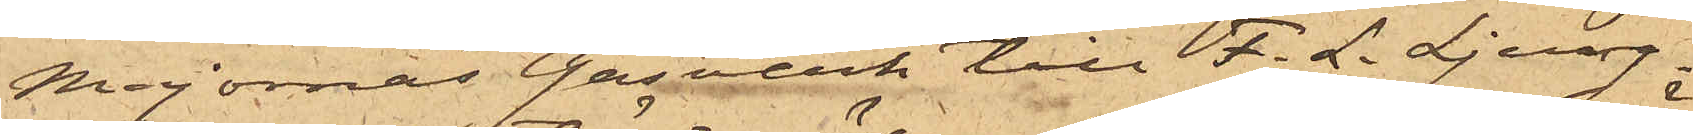Majornas Gasverk till F. L. Ljung¬
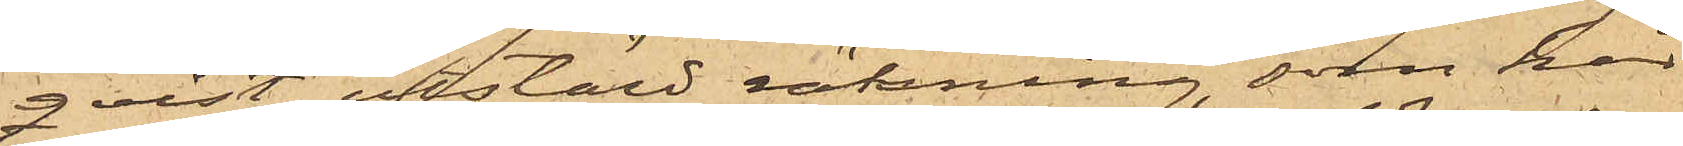qvist utstäld räkning, som här
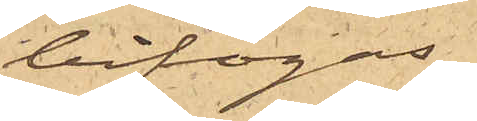bifogas,
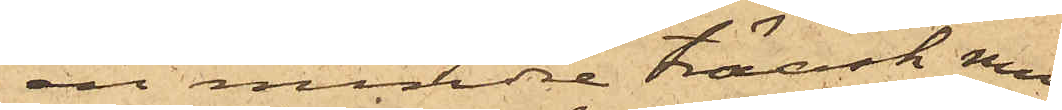en mindre träask med
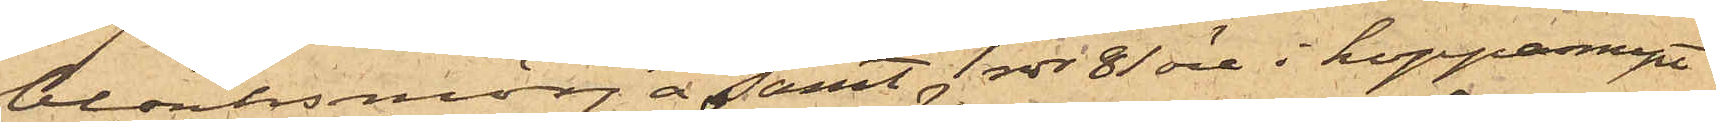blanksmörja, samt 1 rdr 81 öre i kopparmynt
